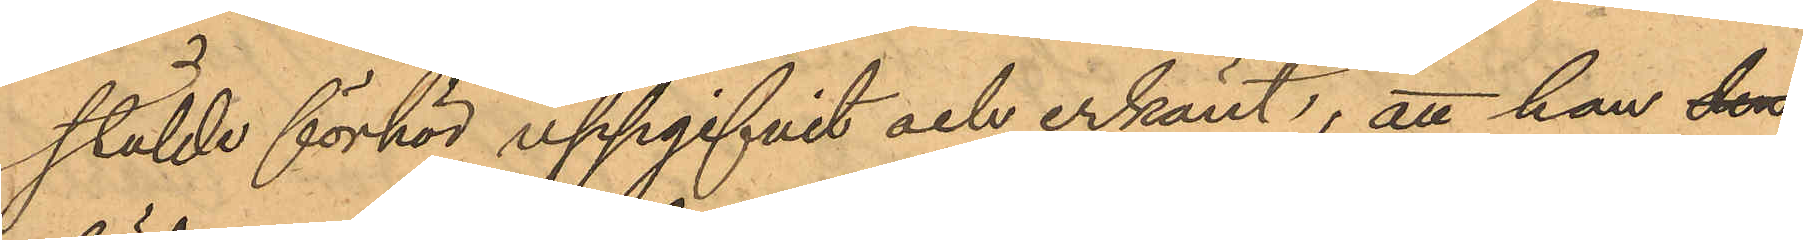stälde förhör uppgifvit och erkänt, att han den
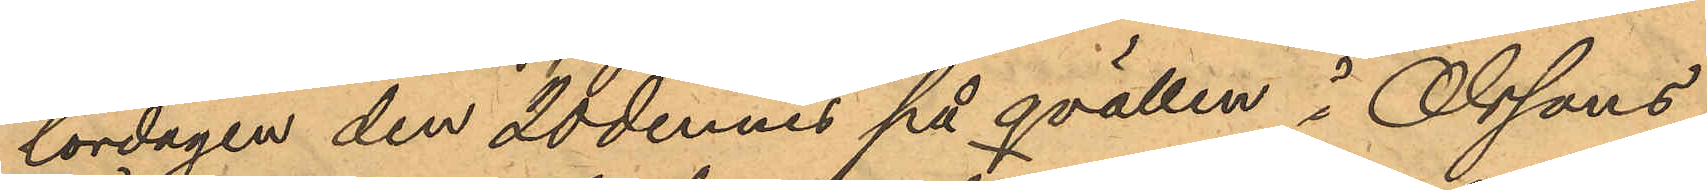lördagen den 20 dennes på qvällen i Olssons
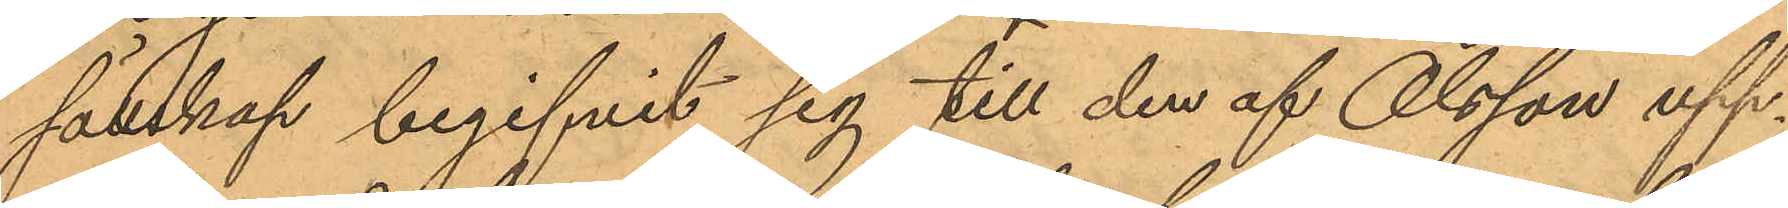sällskap begifvit sig till den af Olsson upp¬
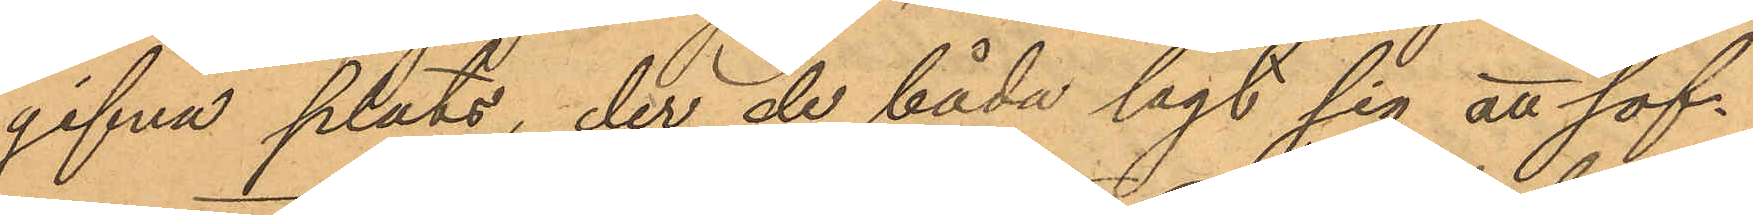gifna plats, der de båda lagt sig att sof¬
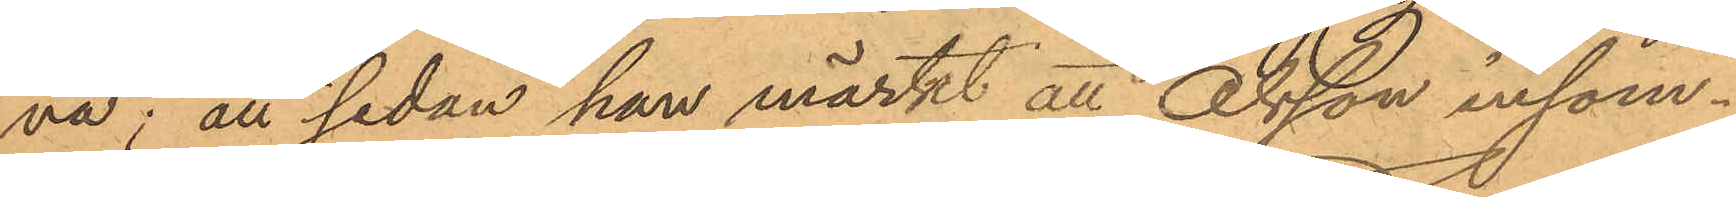va; att sedan han märkt att Olsson insom¬
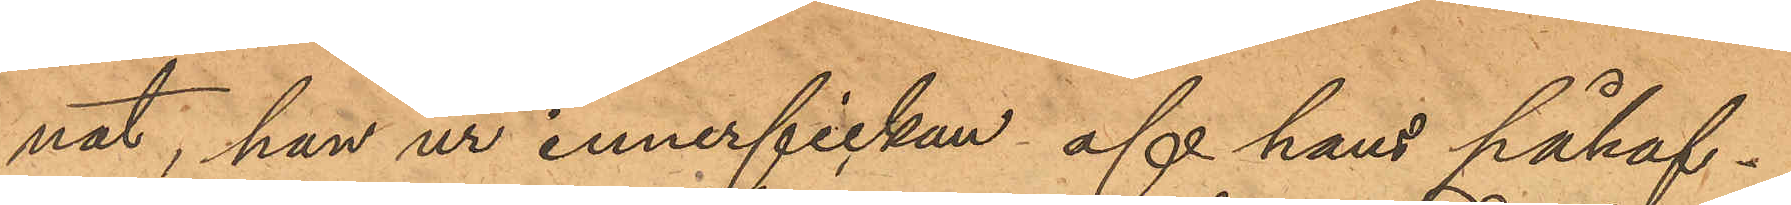nat, han ur innerfickan af hans påhaf¬
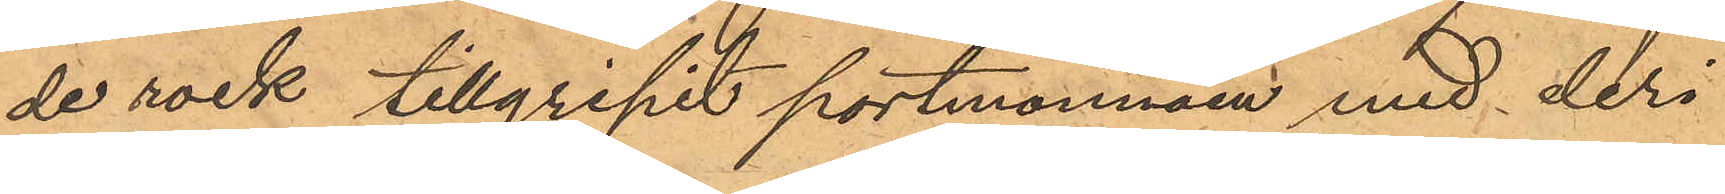de rock tillgripit portmonnäen med deri
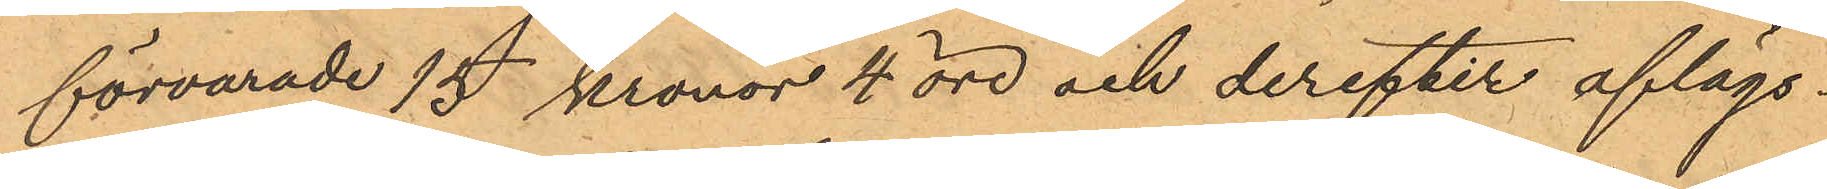förvarade 15 kronor 4 öre och derefter aflägs¬
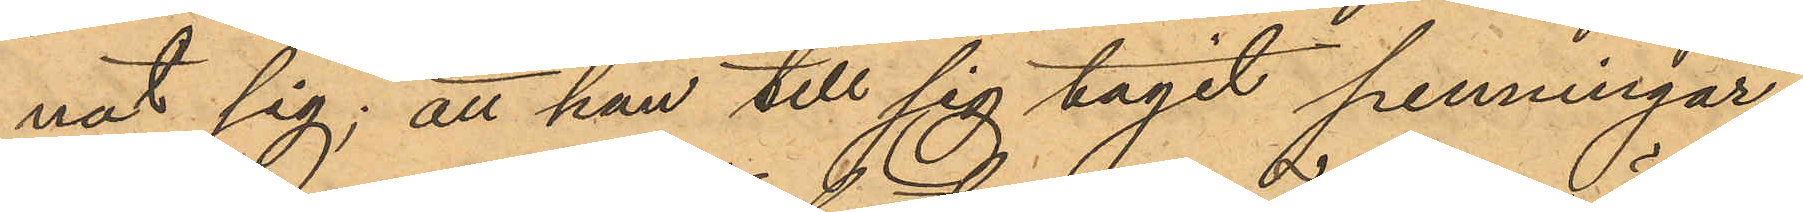nat sig; att han till sig tagit penningar¬
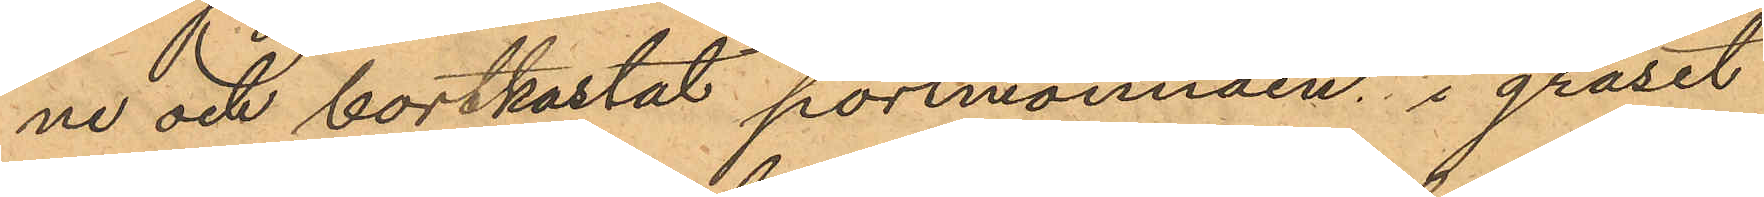ne och bortkastat portmonnäen, i gräset
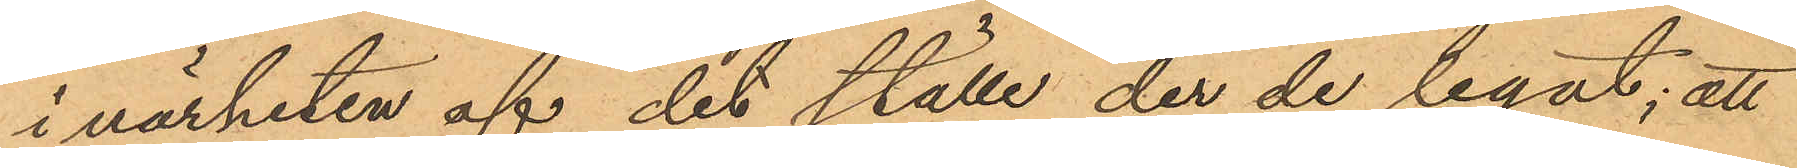i närheten af det ställe der de legat; att
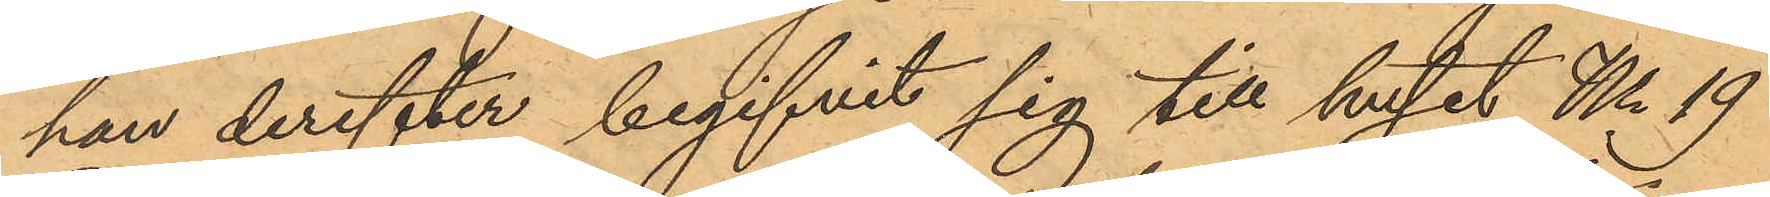han derefter begifvit sig till huset No 19
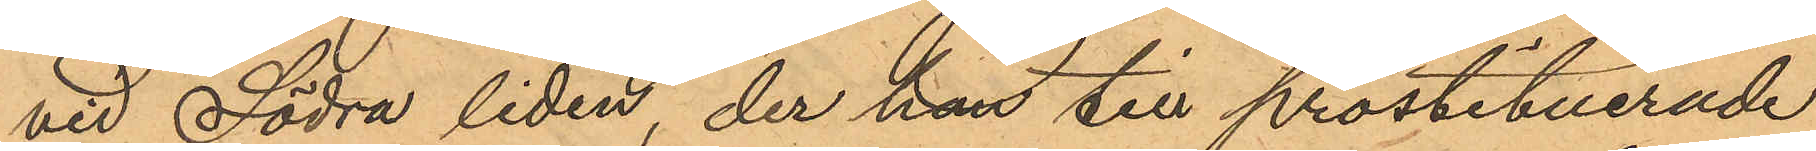vid Södra liden, der han till prostituerade
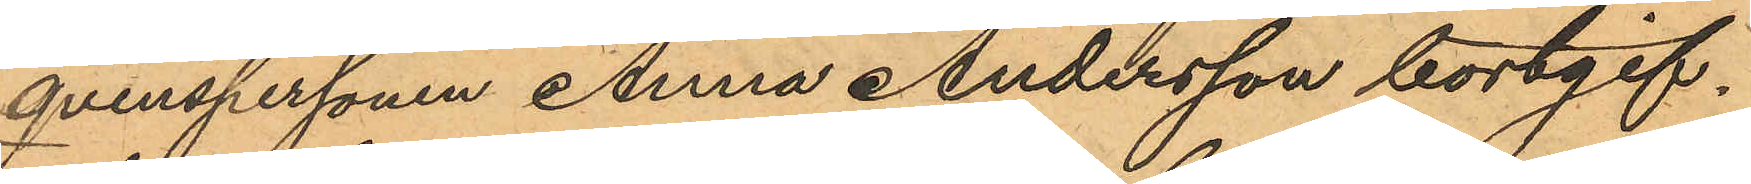qvinspersonen Anna Andersson bortgif¬
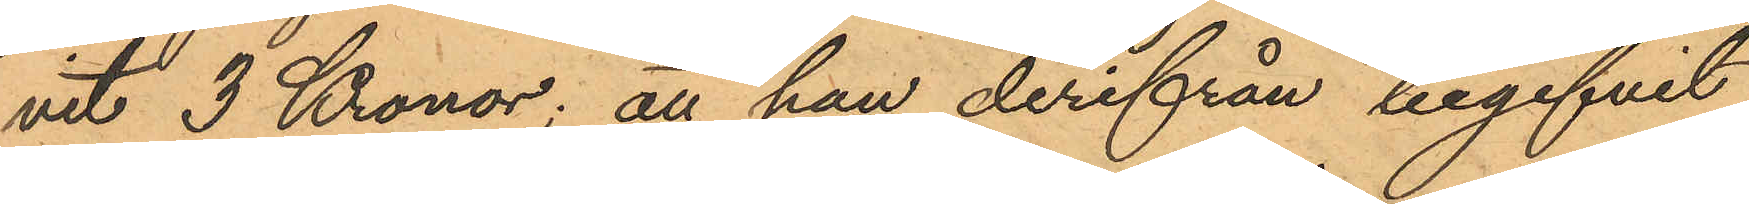vit 3 Kronor; att han derifrån begifvit
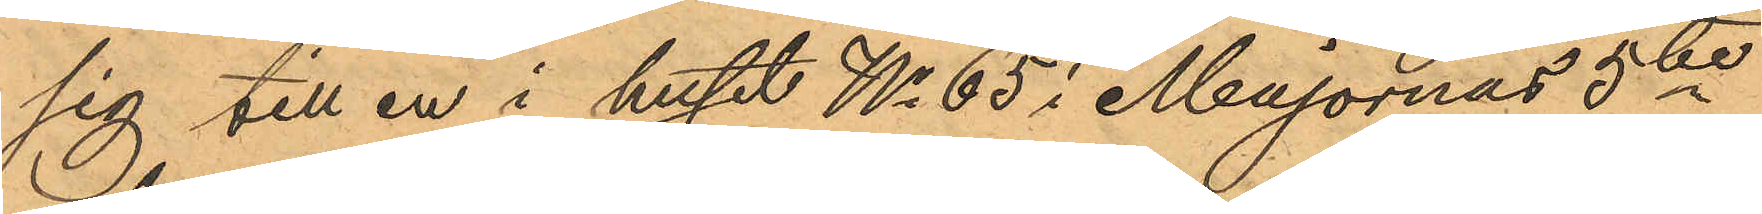sig till en i huset No 65 i Majornas 5te
